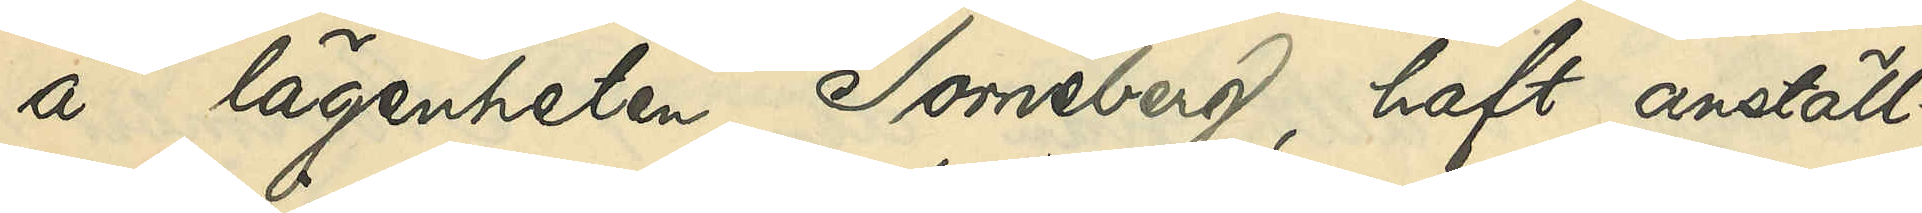å lägenheten Torneberg, haft anställ¬
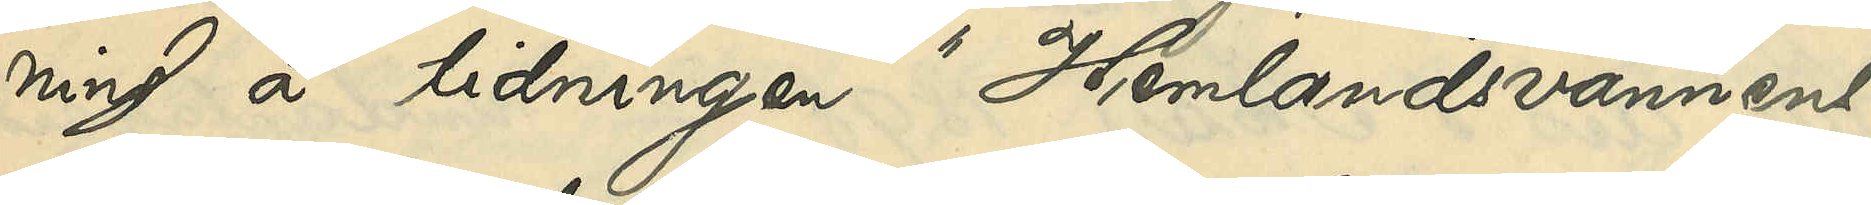ning å tidningen "Hemlandsvännens"
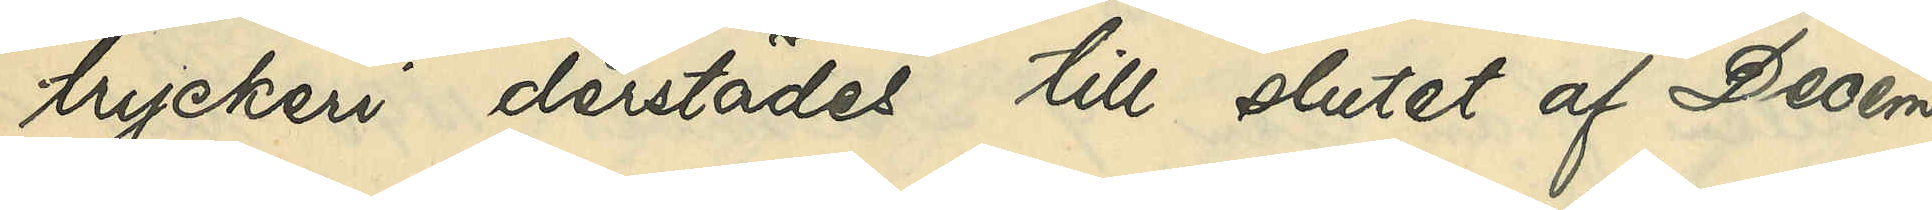tryckeri derstädes till slutet af Decem¬
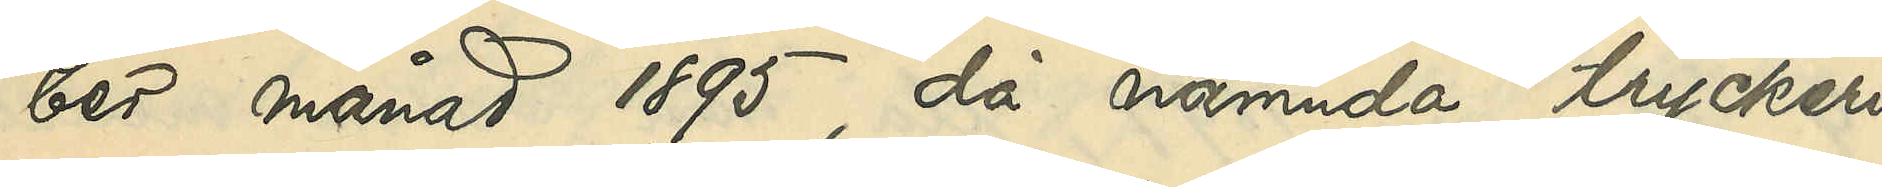ber månad 1895, då nämnda tryckeri
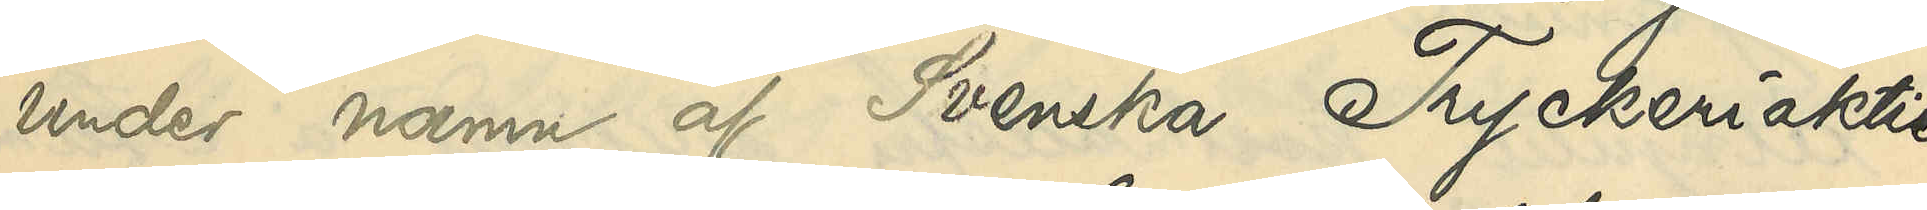under namn af Svenska Tryckeriaktie¬
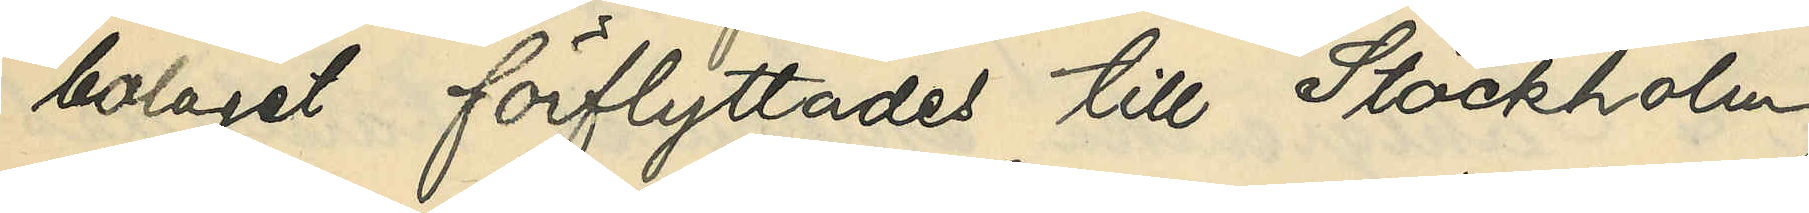bolaget förflyttades till Stockholm
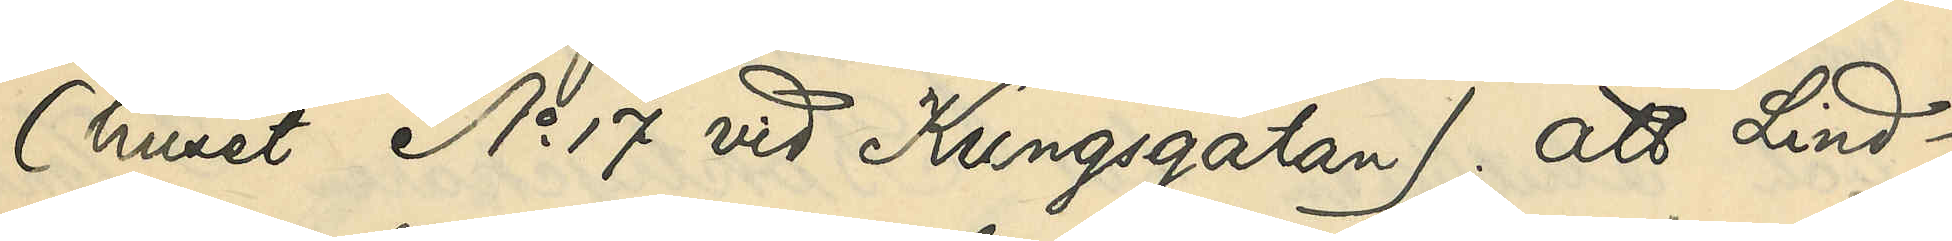(huset No 17 vid Kungsgatan); att Lind¬
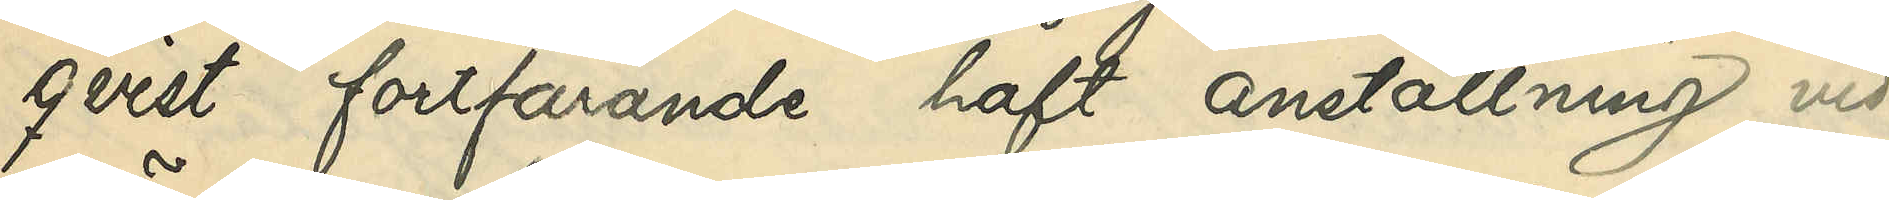qvist fortfarande haft anställning vid
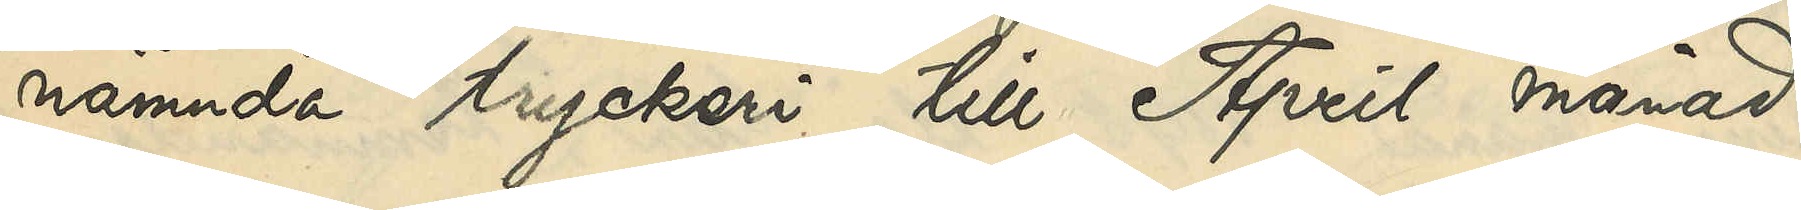nämnda tryckeri till April månad
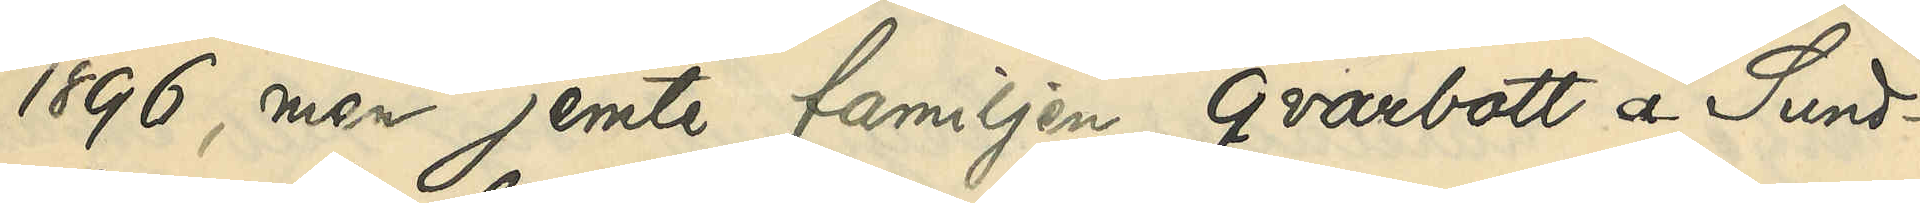1896, men jemte familjen qvarbott i Sund¬
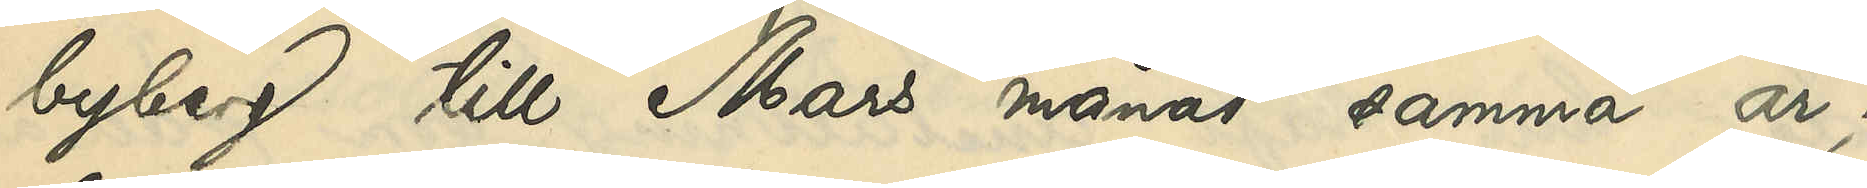byberg till Mars månad samma år;
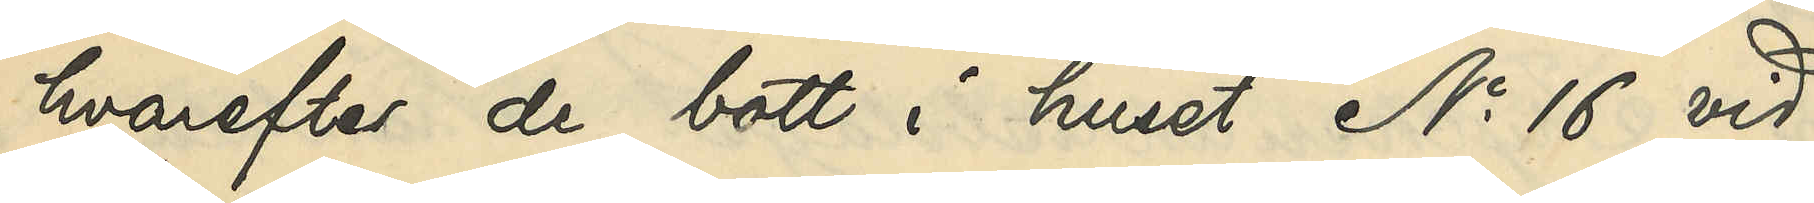hvarefter de bott i huset No 16 vid
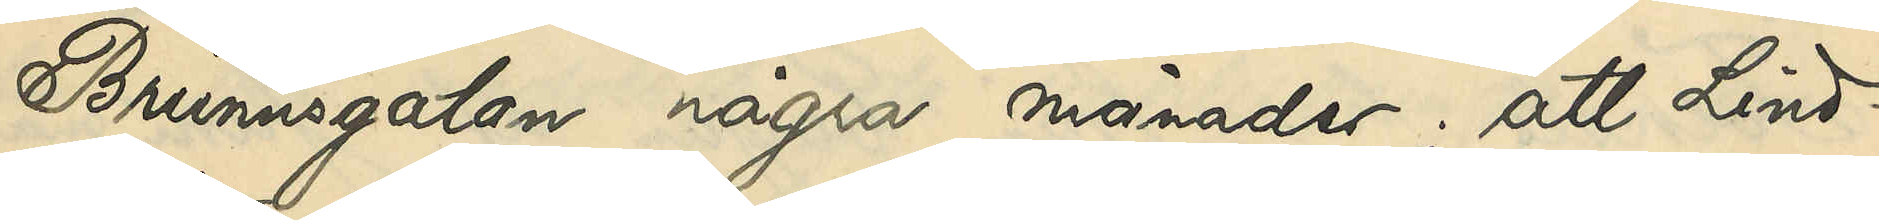Brunnsgatan några månader; att Lind¬
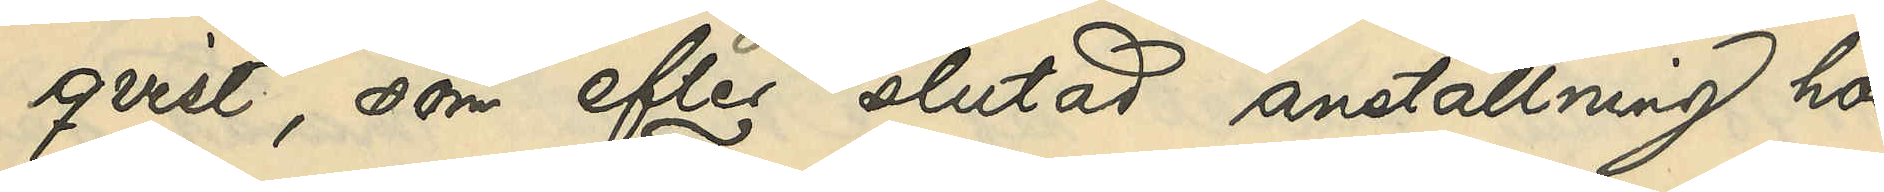qvist, som efter slutad anställning hos
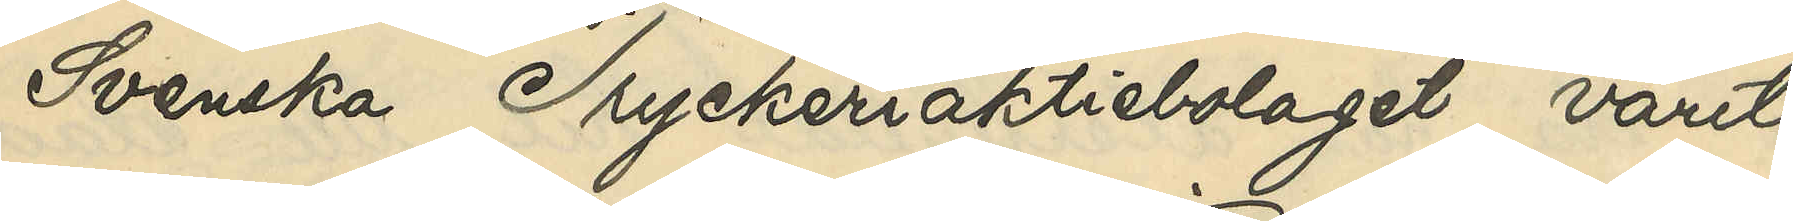Svenska Tryckeriaktiebolaget varit
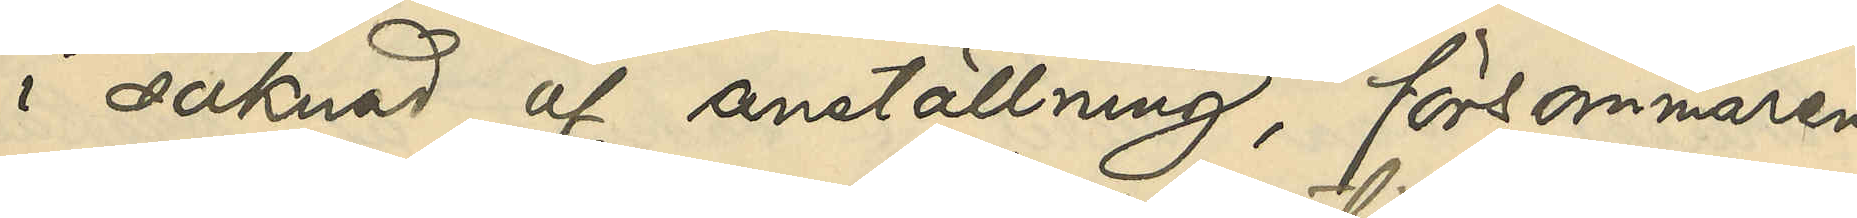i saknad af anställning, försommaren
